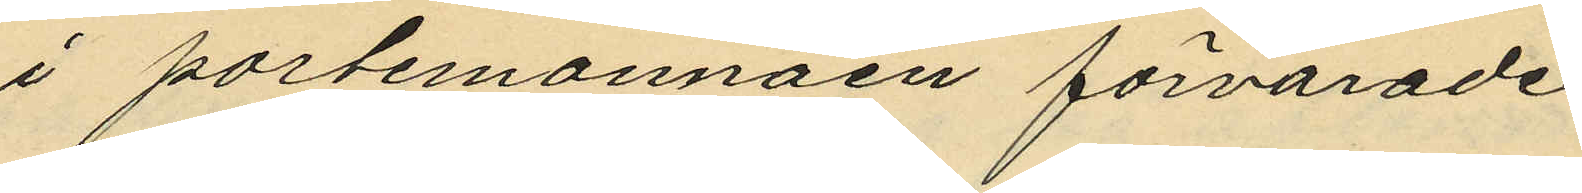i portemonnäen förvarade.
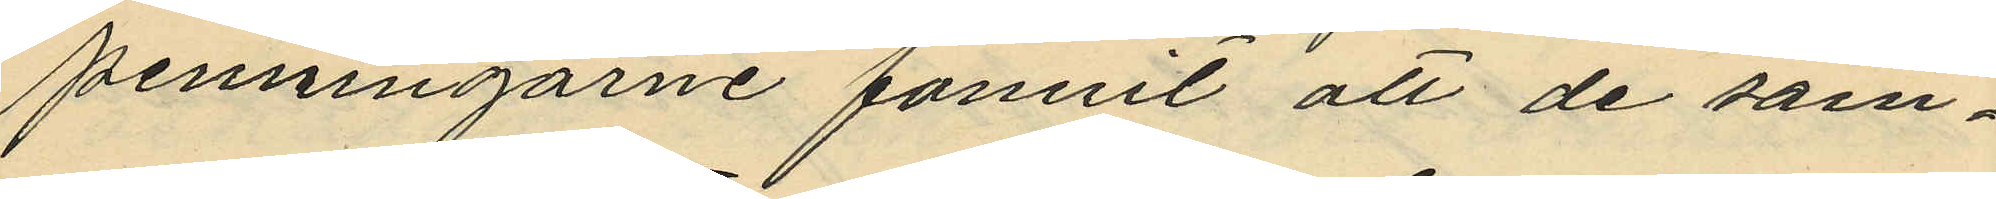penningarne fannit att de sam¬
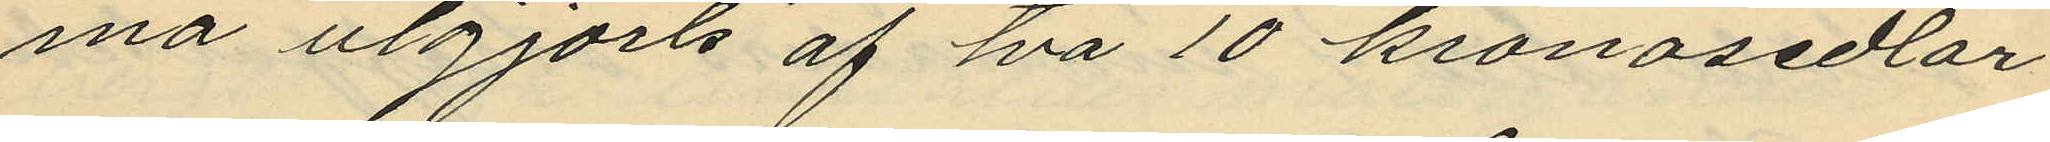ma utgjorts af tva 10 kronosedlar
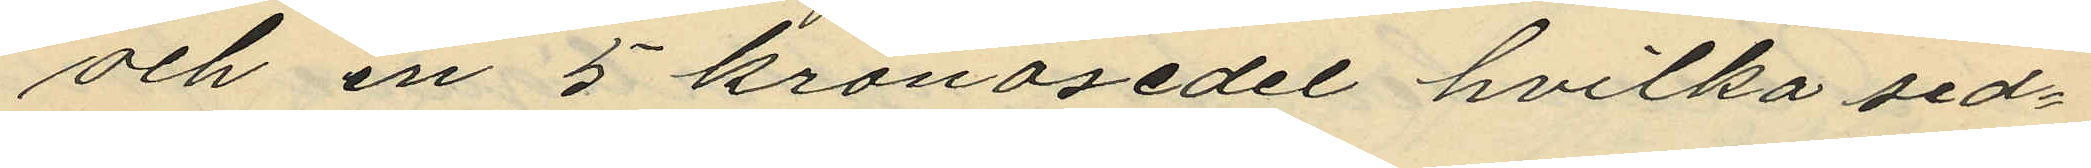och en 5 kronosedel hvilka sed¬
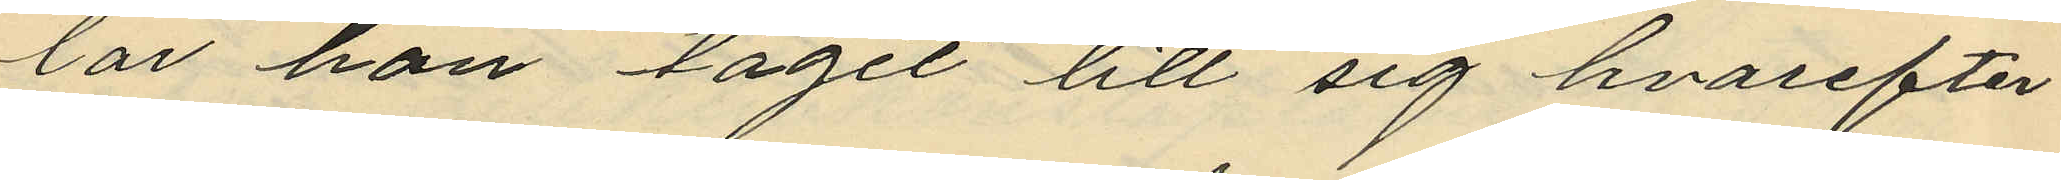lar hon tagit till sig hvarefter
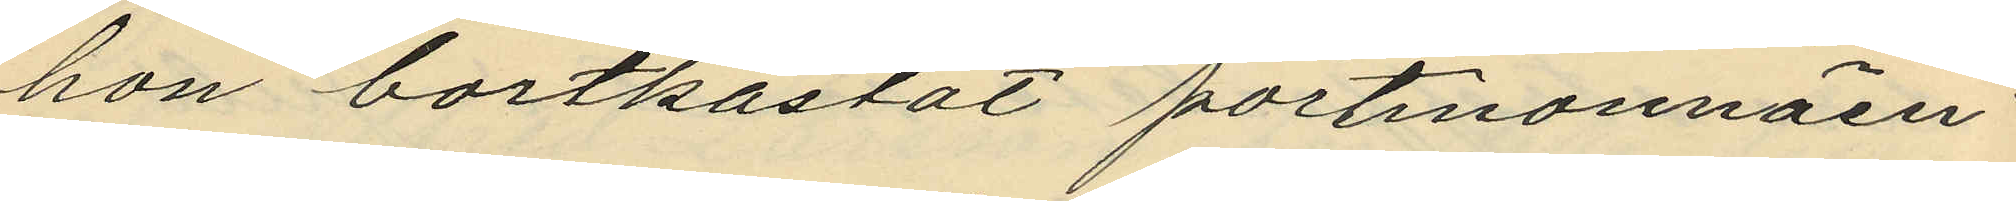hon bortkastat portmonnäen;
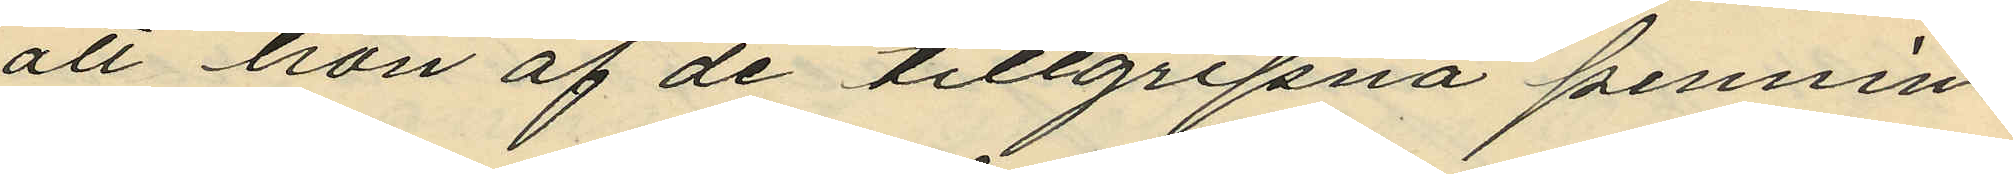att hon af de tillgripna pennin¬
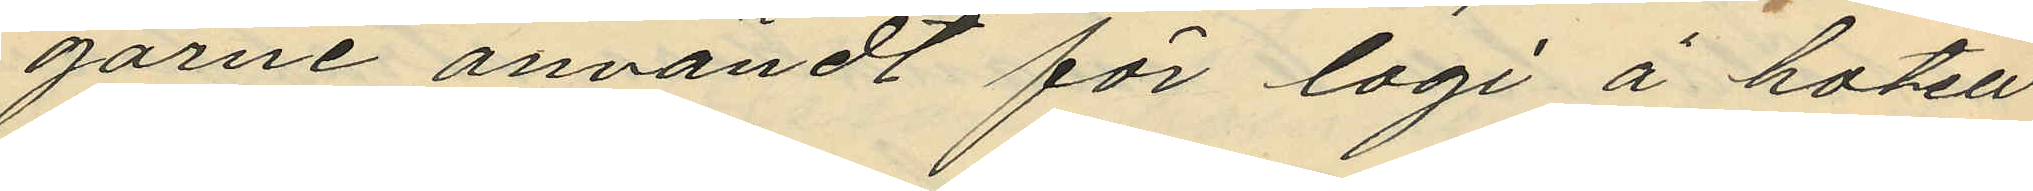garne användt för logi å hotell
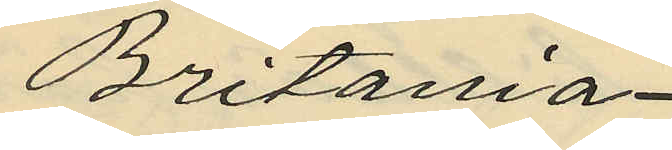Britania
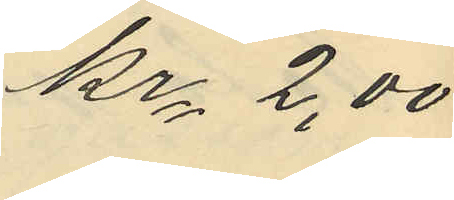Kr. 2,00
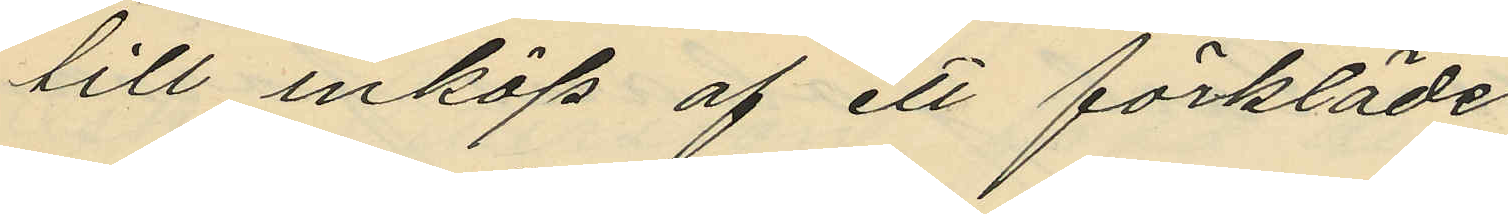till inköp af ett förkläde
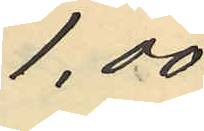1,00
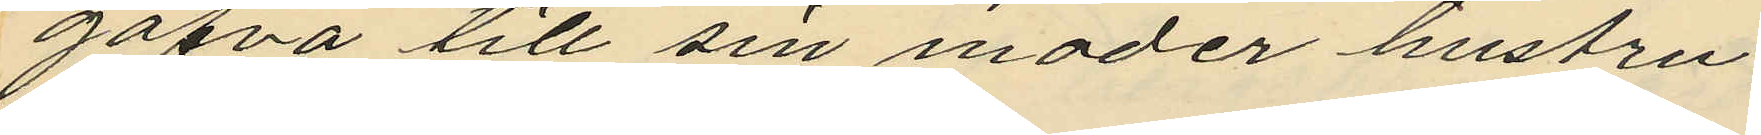gafva till sin moder hustru
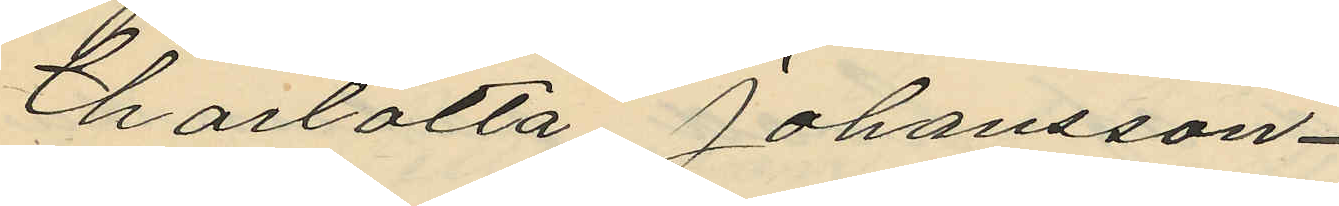Charlotta Johansson
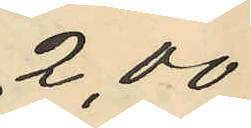2,00
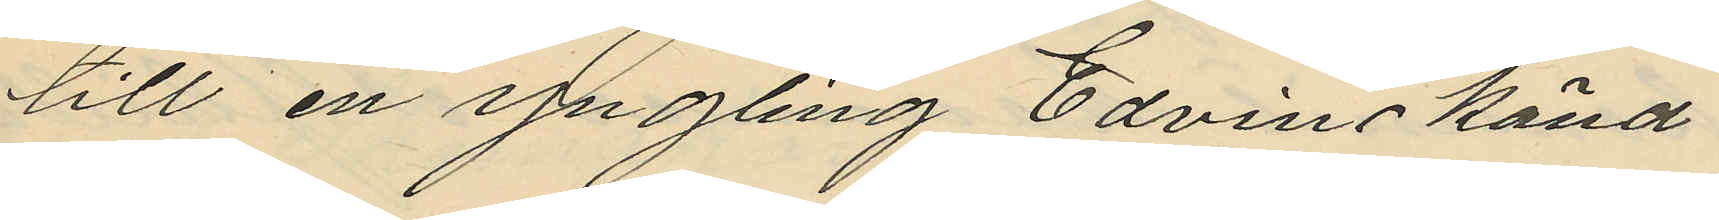till en yngling Edvin känd
